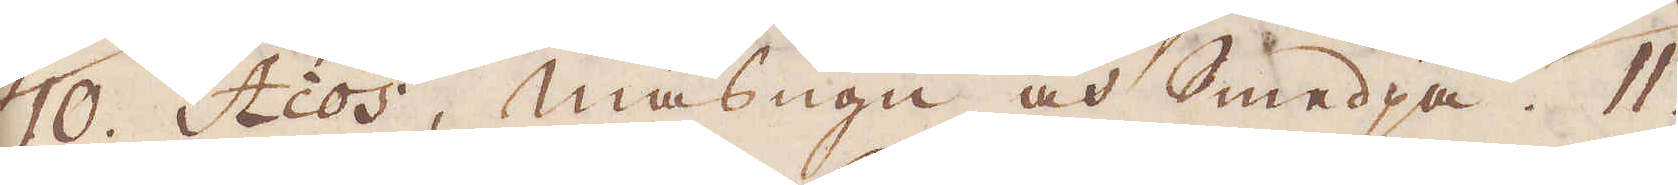10. Acos, masugn och smedja. 11.
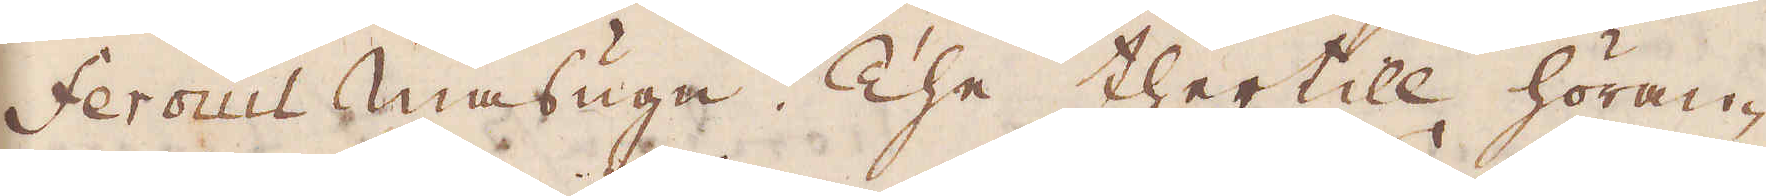ferouil masugn. The thertill höran-
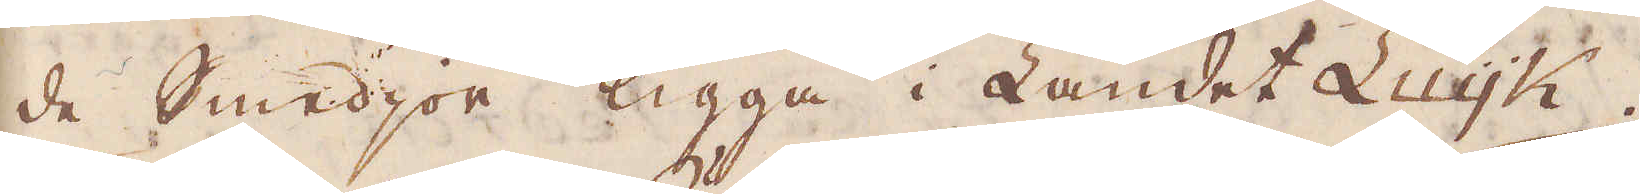de smedjor ligga i Landet Luijk.
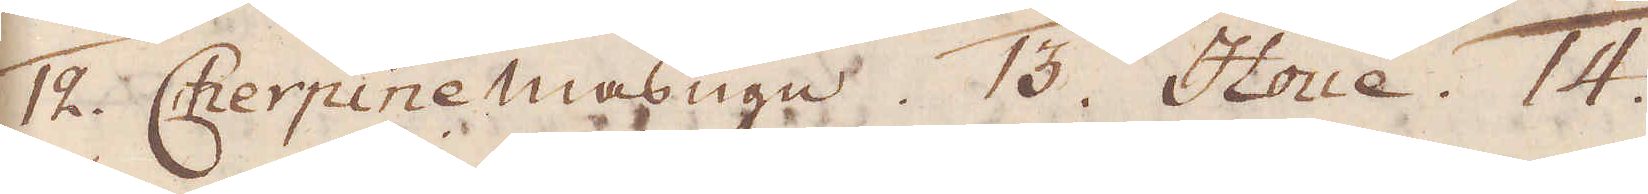12. Cherpine masugn. 13. Houe. 14.
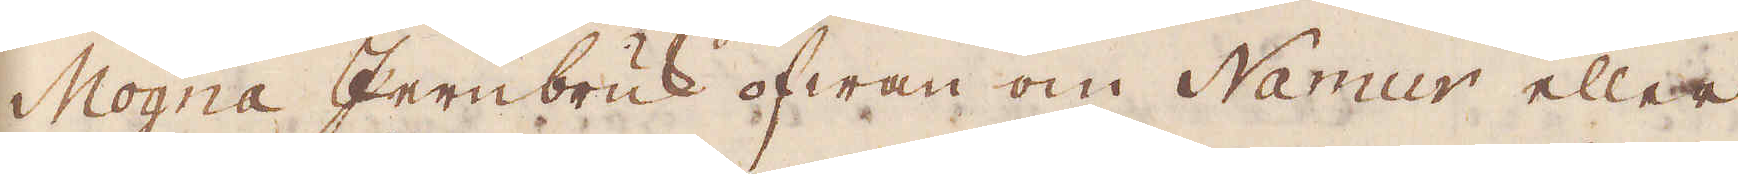Mogna Jernbruk ofwan om Namur eller
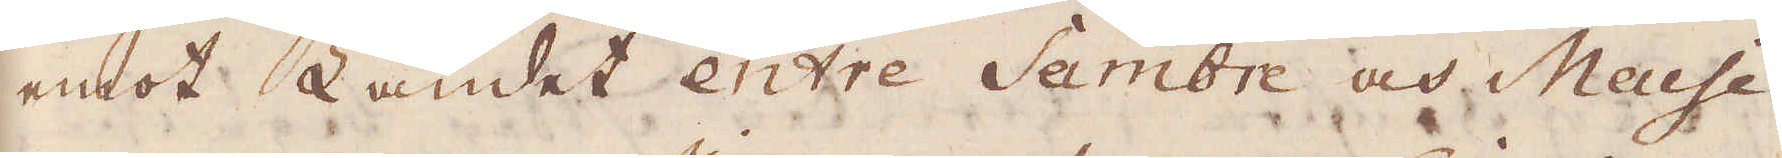emot Landet entre Sambre och Meuse.
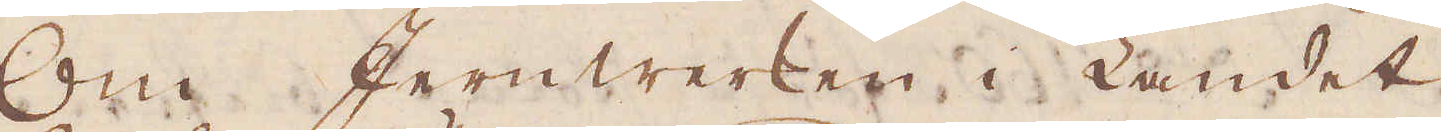Om Jernwerken i Landet
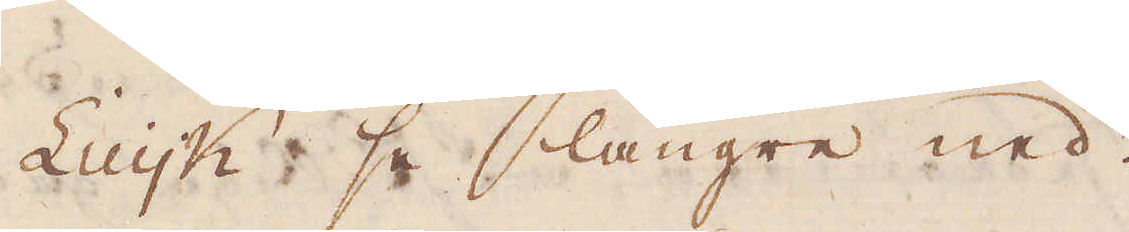Luijk se längre ned.
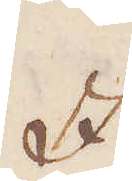I
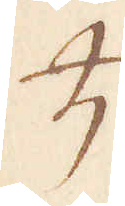♄
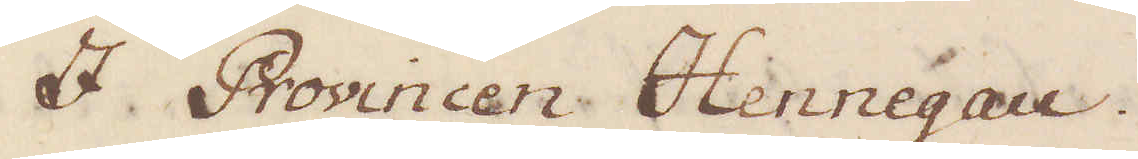I Provincen Hennegau.
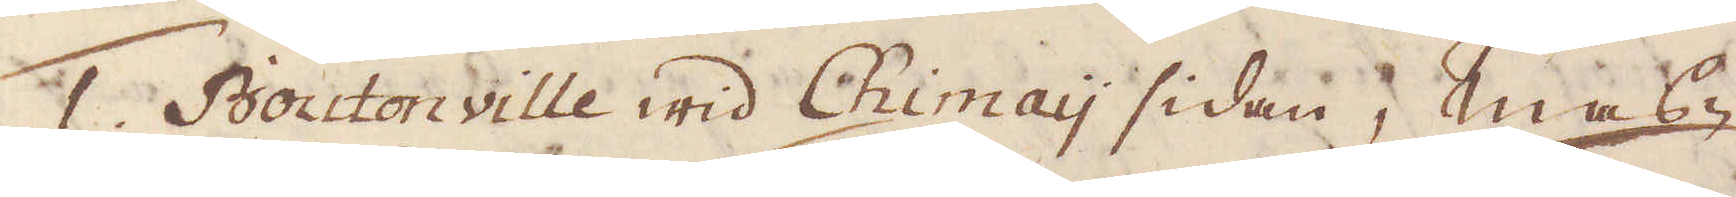1. Boutonville wid Chimay sidan, mas-
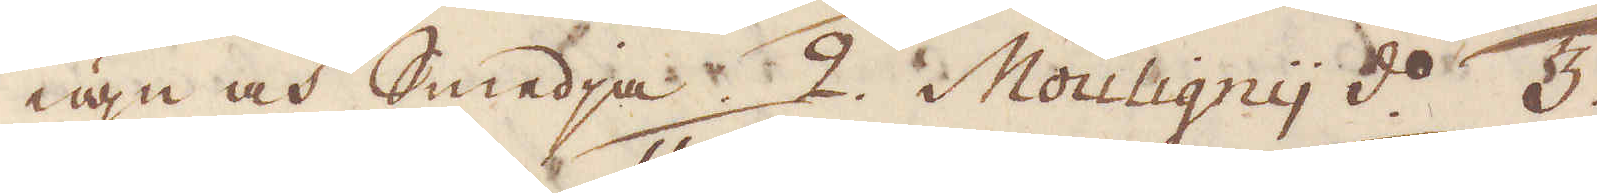ugn och Smedja 2. Mouligny d:o 3.
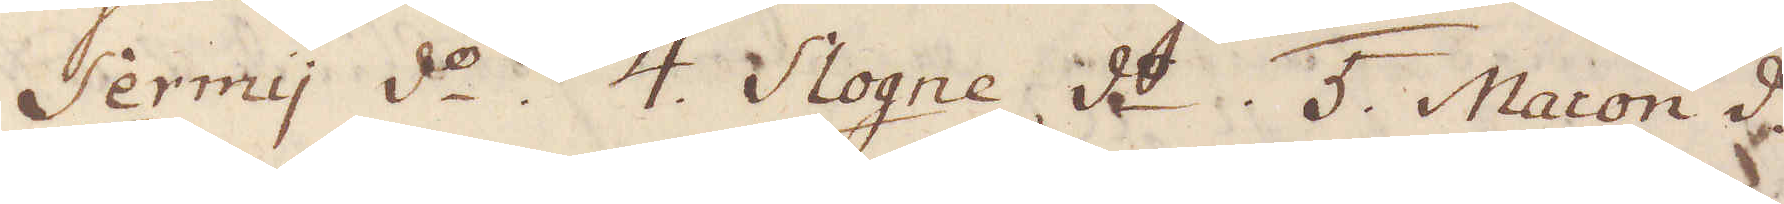Sermy d:o 4. Slogne d:o 5. Macon d:o
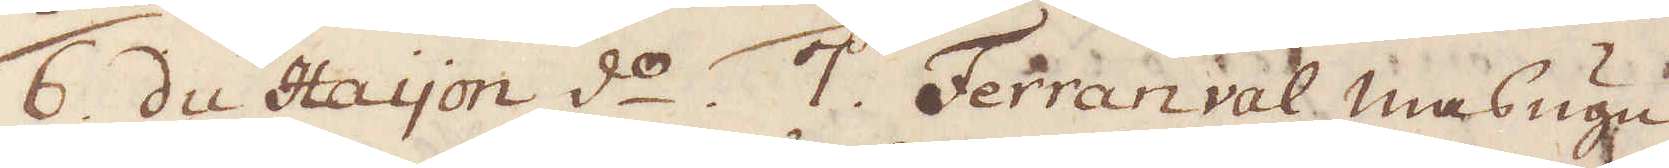6 du Hayon d:o 7. Ferran val masugn
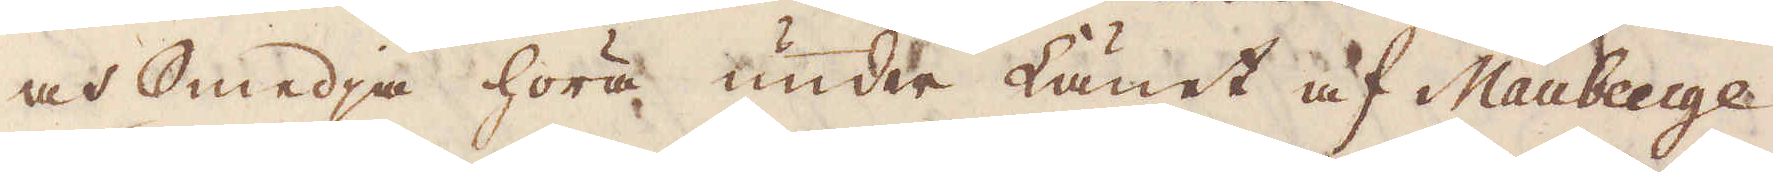och Smedja höra under Länet af Mauberge.
